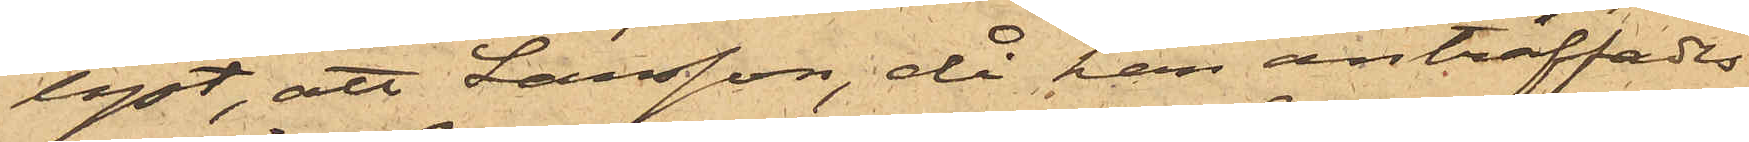lyst, att Larsson, då han anträffades
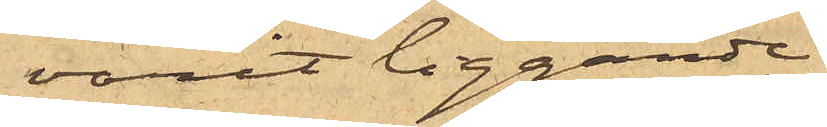varit liggande
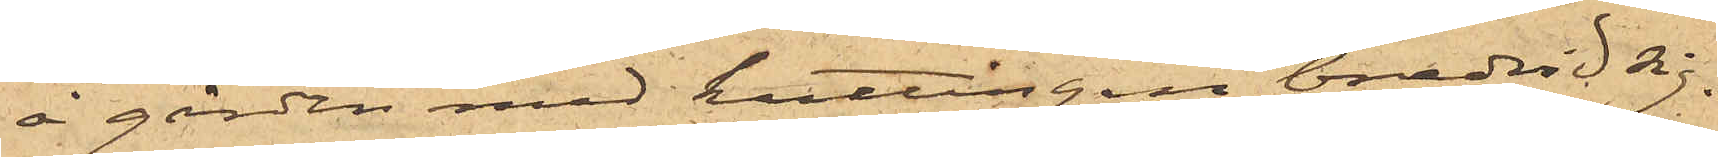å gården med kuttingen bredvid sig.
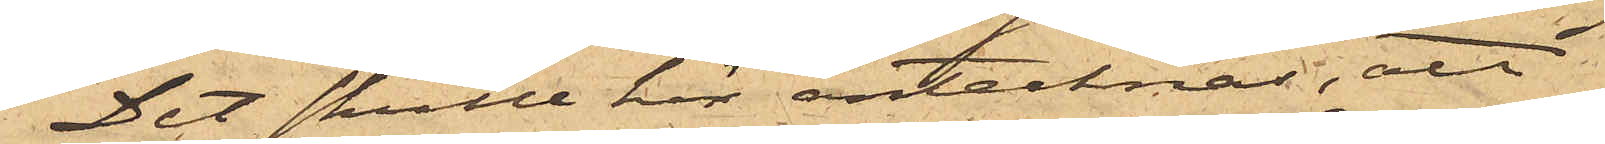Det skulle här antecknas, att
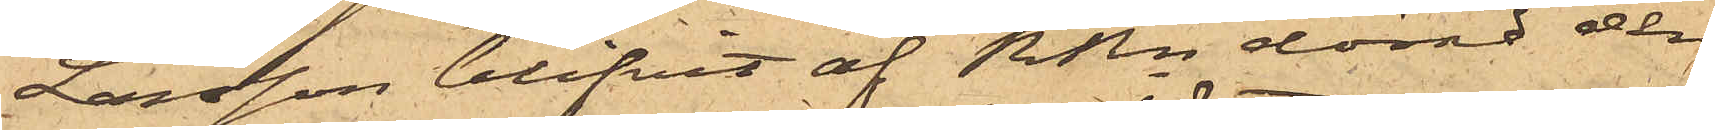Larsson blifvit af RRn dömd den
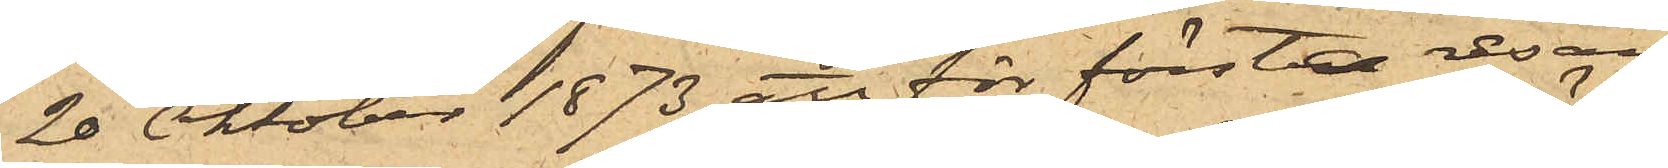20 Oktober 1873 att för första resan
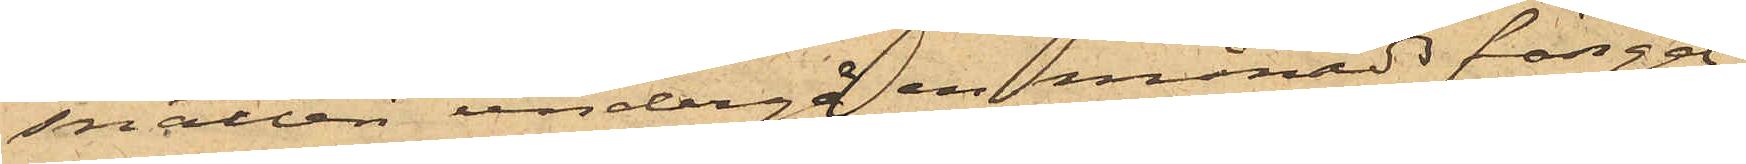snatteri undergå en månads fängel¬
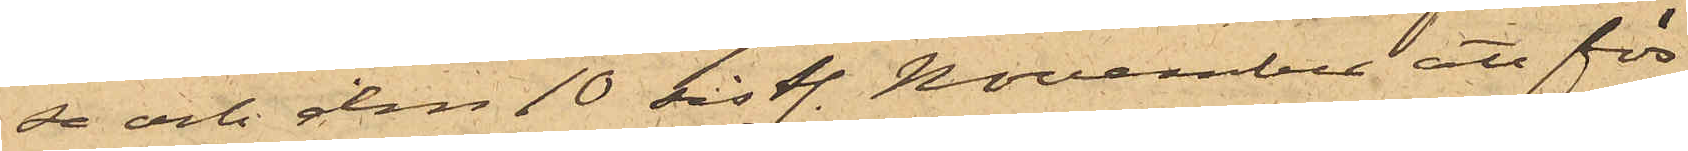se och den 10 sistl. November att för
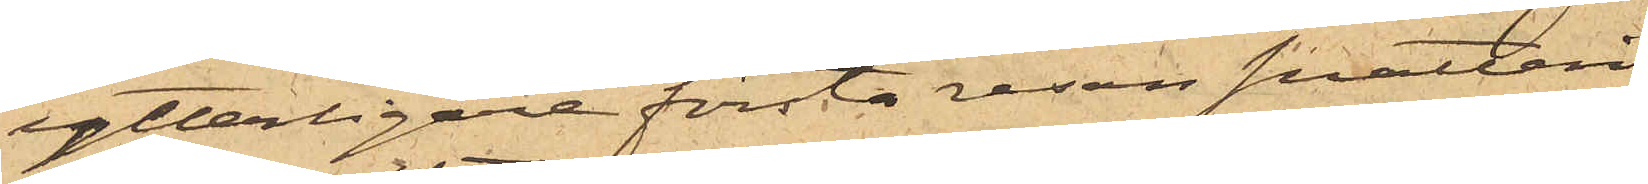ytterligare första resan snatteri
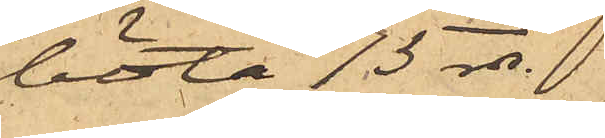böta 15 rdr.
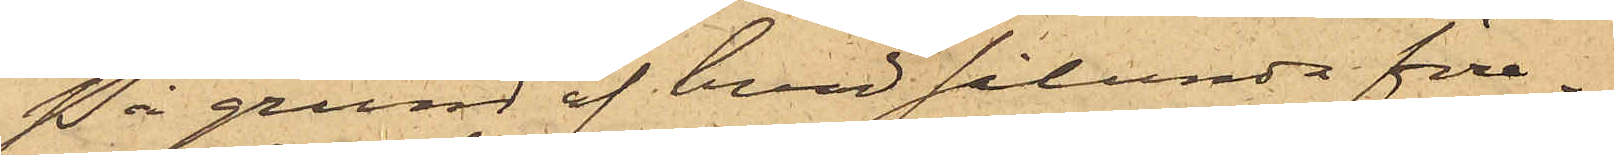På grund af hvad sålunda före¬
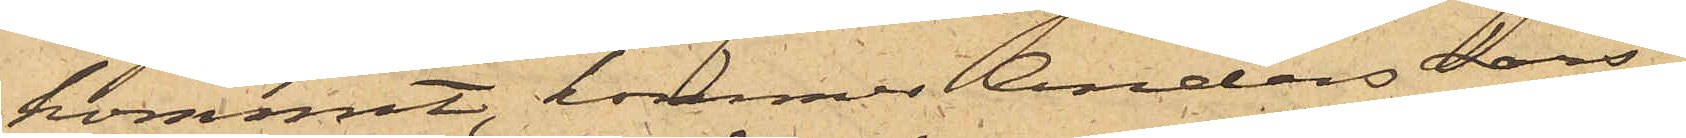kommit, kommer Anders Lars¬
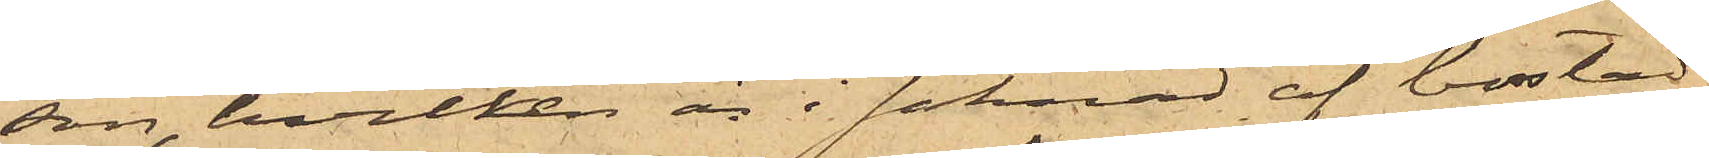son, hvilken är i saknad af bostad,
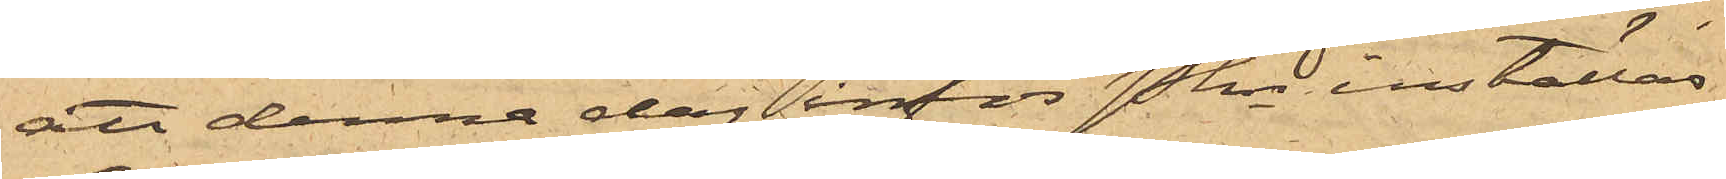att denna dag inför Pkn inställas.
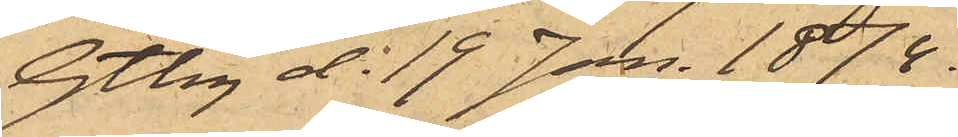Gtbg d. 19 Jan. 1874.
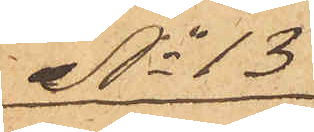No 13
